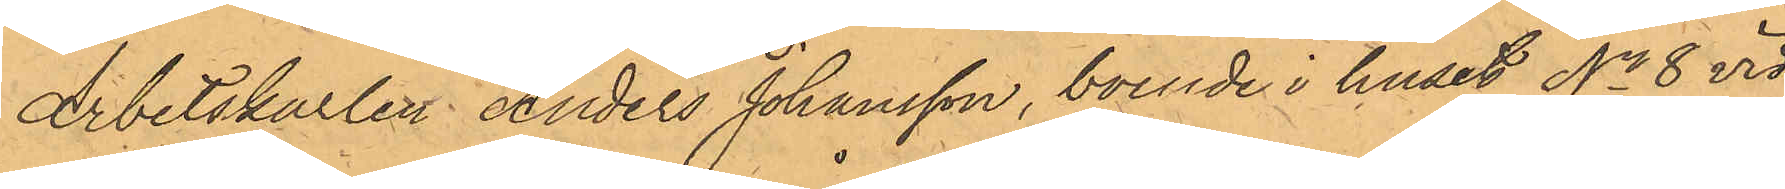Arbetskarlen Anders Johansson, boende i huset No 8 vid
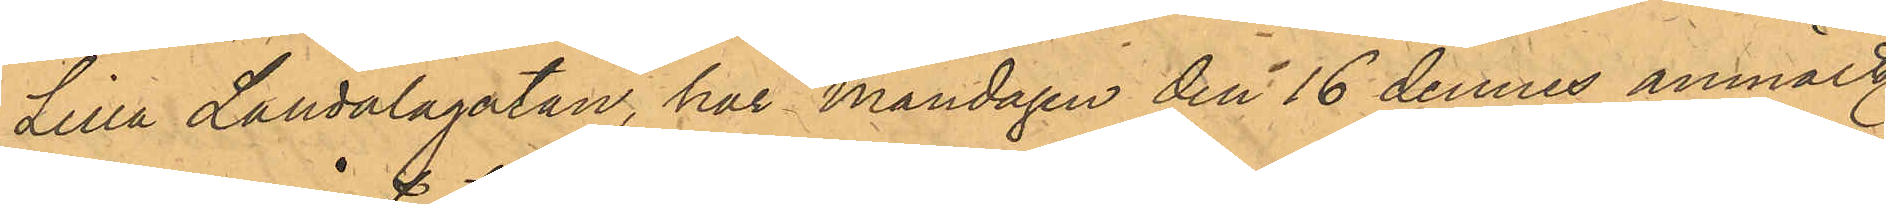Lilla Landalagatan, har Måndagen den 16 dennes anmält,
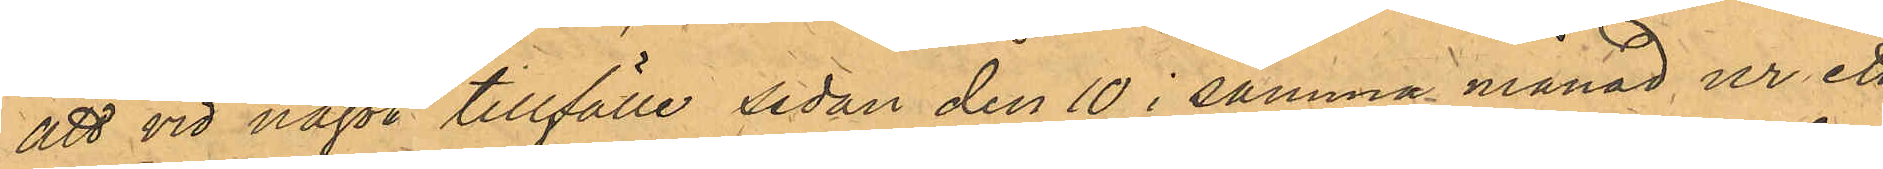att vid något tillfälle sedan den 10 i samma månad ur ett
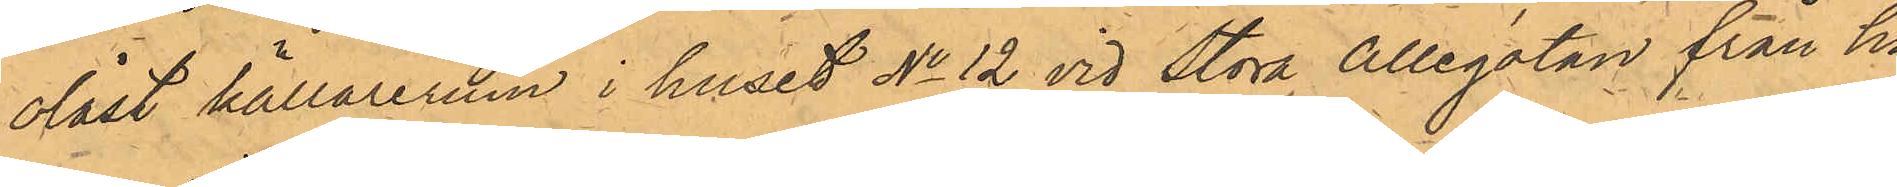olåst källarerum i huset No 12 vid Stora Allégatan från ho¬
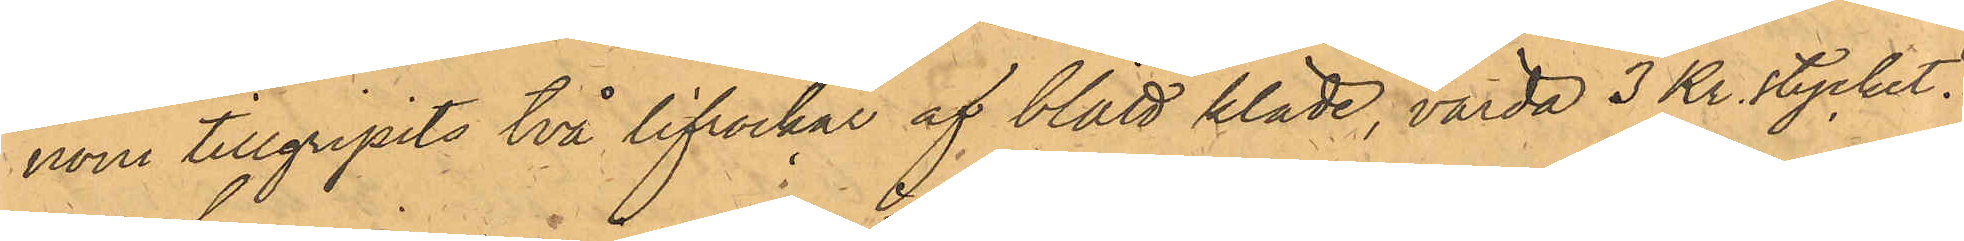nom tillgripits två lifrockar af blått kläde, värda 3 Kr. stycket.
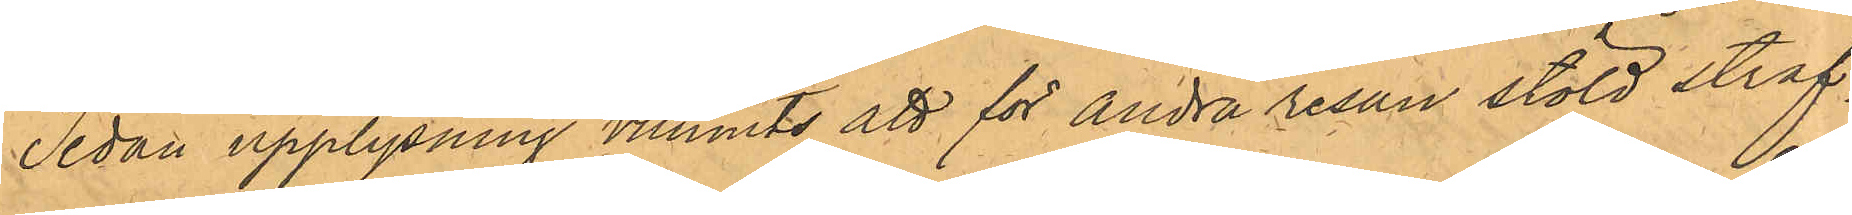Sedan upplysning vunnits att för andra resan stöld straf¬
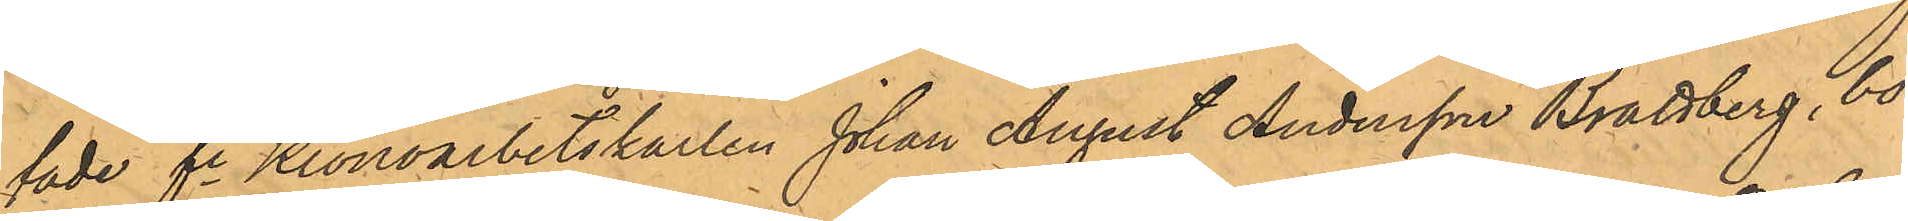fade fe Kronoarbetskarlen Johan August Andersson Brattberg, bo¬
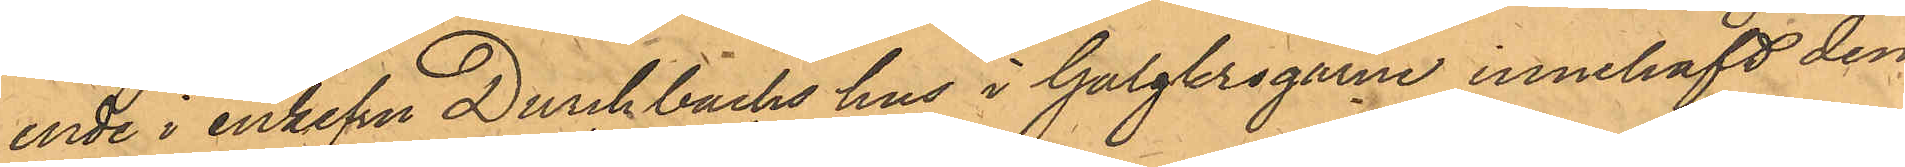ende i enkefru Durchbachs hus i Galgkrogarne innehaft den
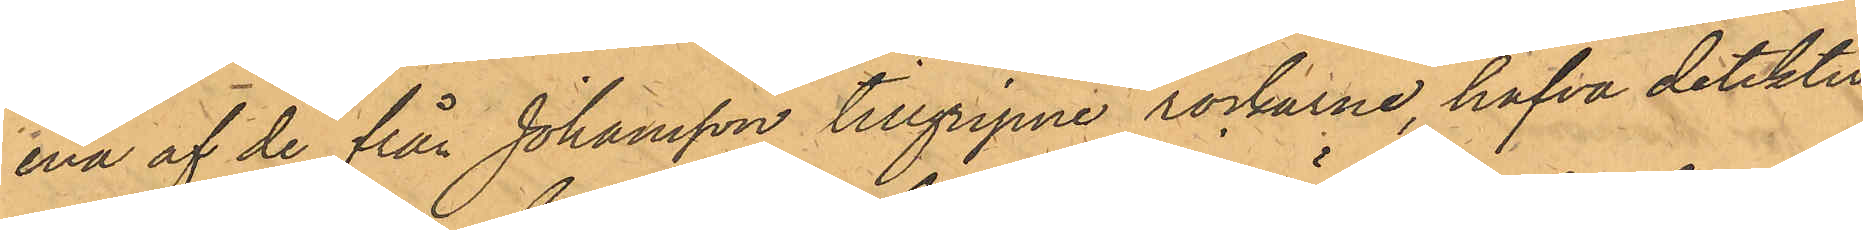ena af de från Johansson tillgripne rockarne, hafva detektiv¬
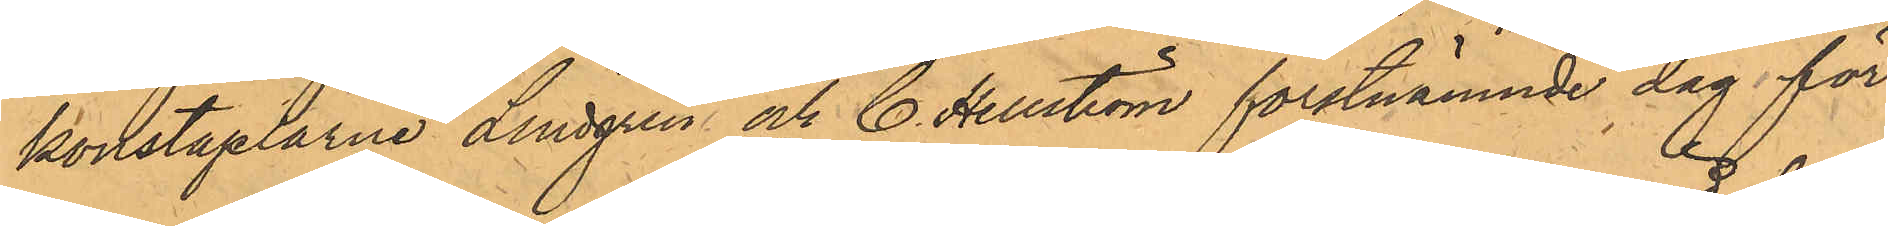konstaplarne Lindgren och C. Hellström förstnämnde dag för
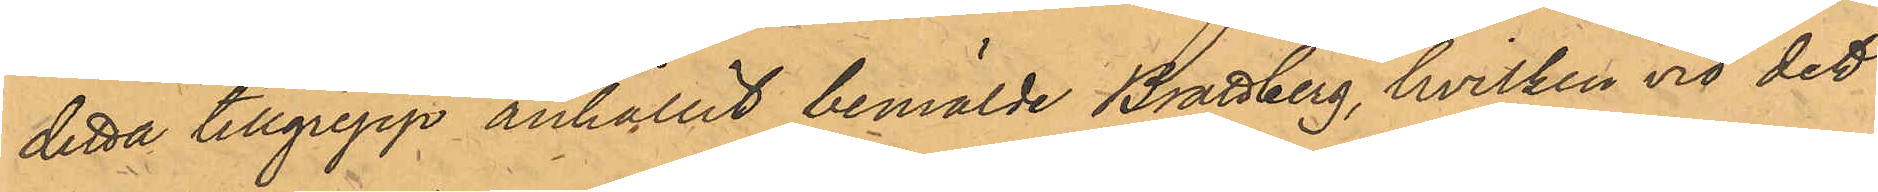detta tillgrepp anhållit bemälde Brattberg, hvilken vid det
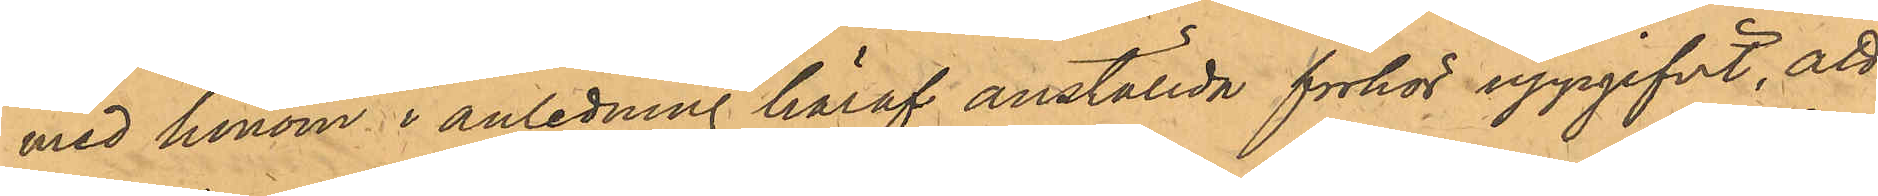med honom i anledning häraf anställda förhör uppgifvit, att
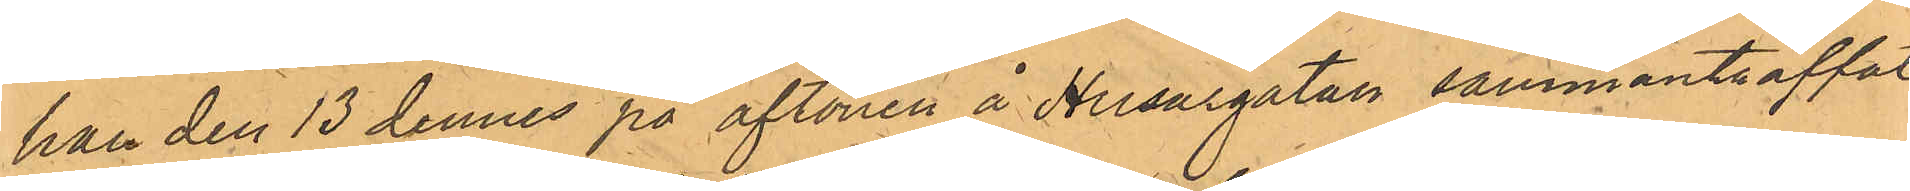han den 13 dennes på aftonen å Husargatan sammanträffat
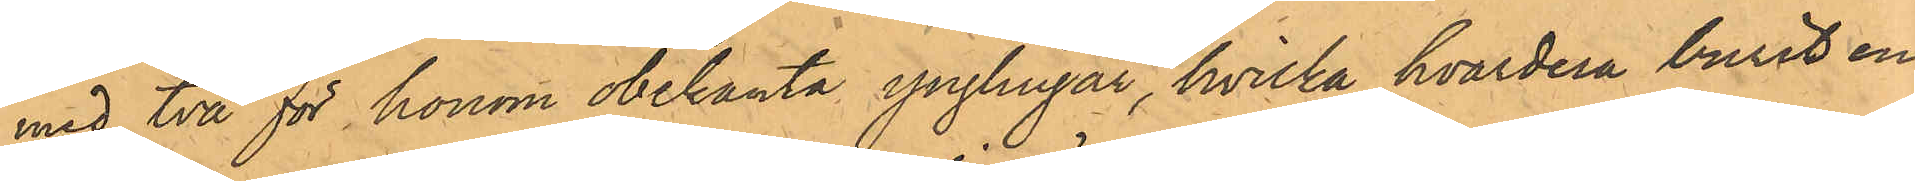med två för honom obekanta ynglingar, hvilka hvardera burit en
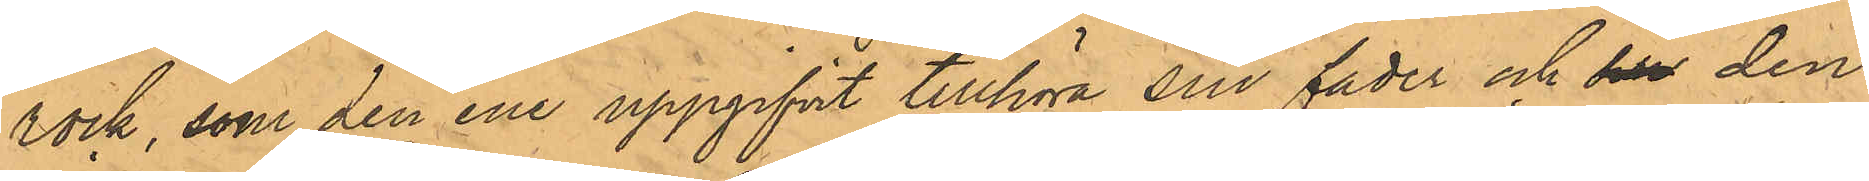rock, som den ene uppgifvit tillhöra sin fader och som den
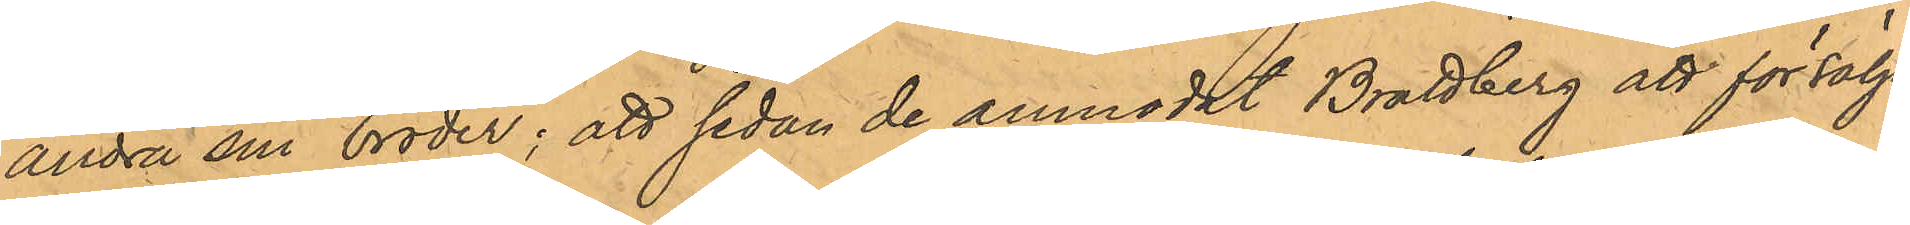andra sin broder; att sedan de anmodat Brattberg att försälja
